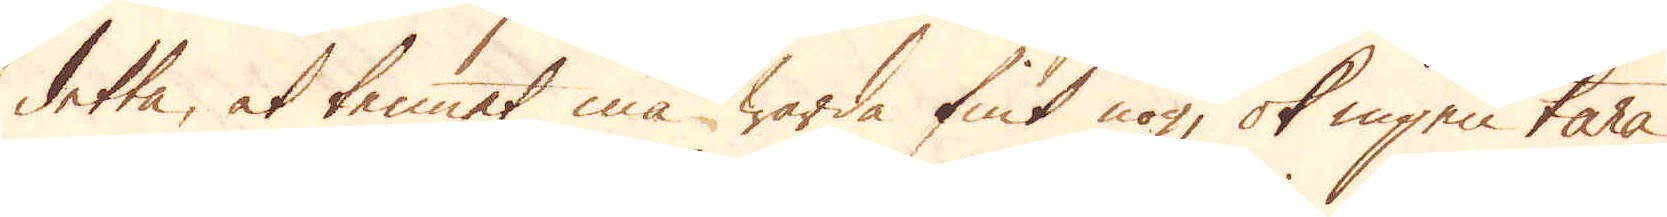detta, at tennet må warda fint nog, ok ingen tara
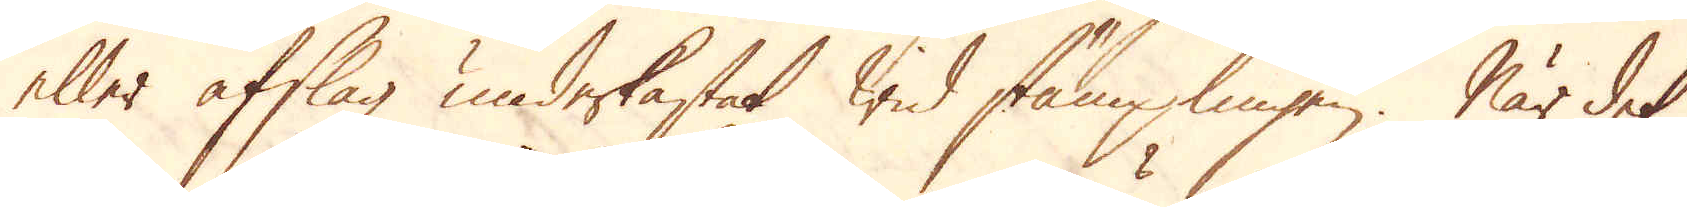eller afslag underkastat wid stämplingen. När det
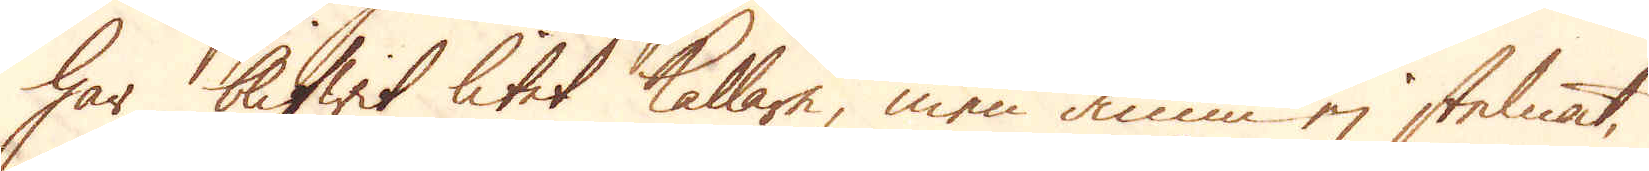har blifwit litet kallare, men ännu ej stelnat,
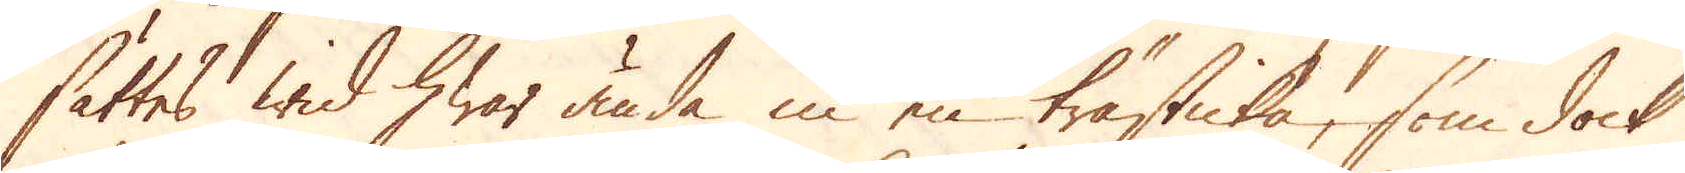sättes wid hwar ända in en trästicka, som dock
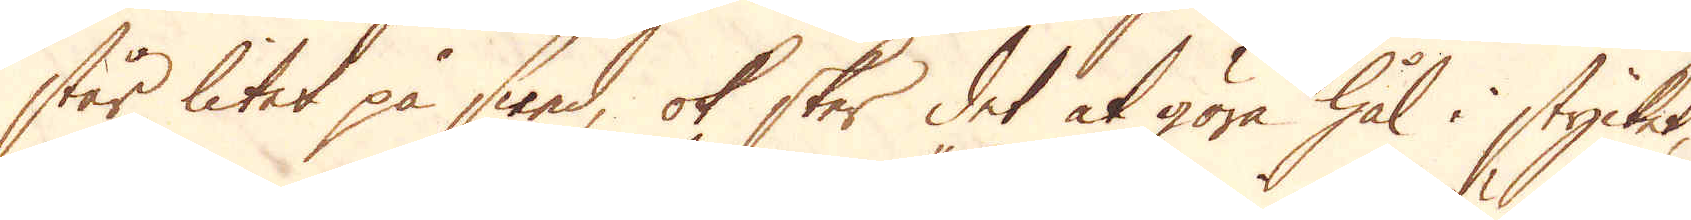står litet på sned, ok sker det at göra hål i stycket,
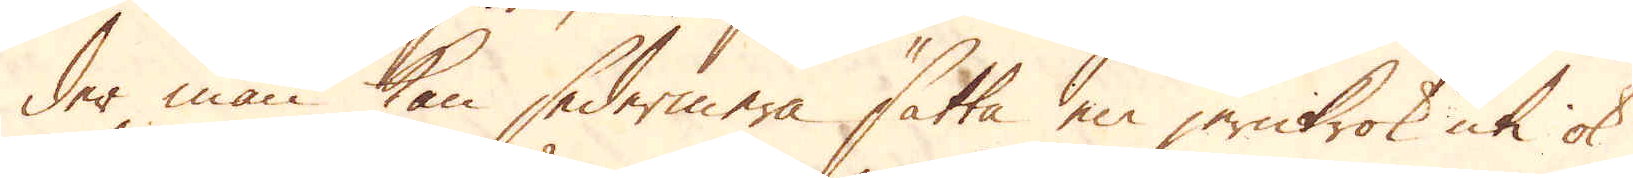der man kan sedermera sätta en jernkrok uti ok
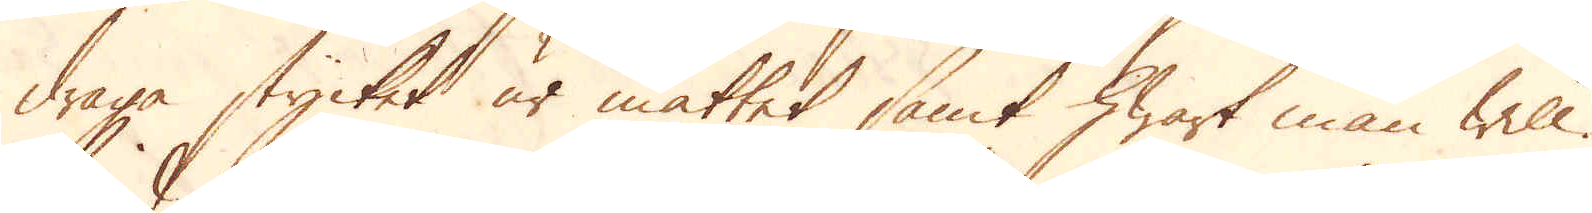draga stycket ur måttet samt hwart man will.
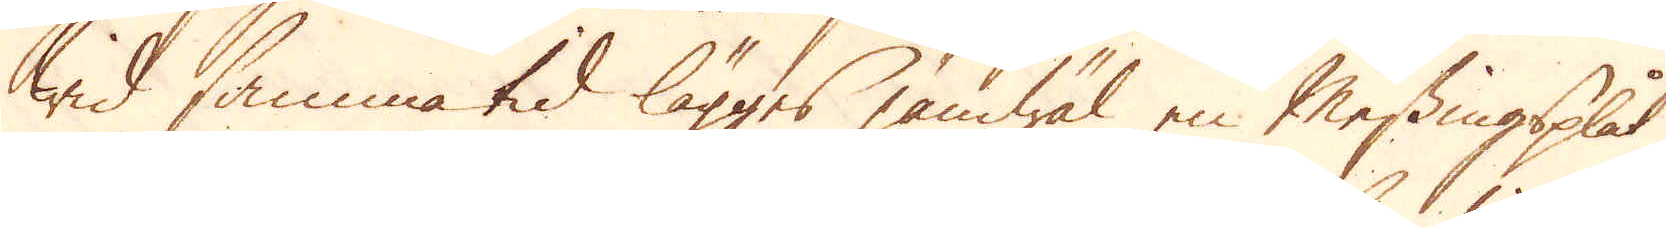wid samma tid lägges jämwäl en Messingsplåt,
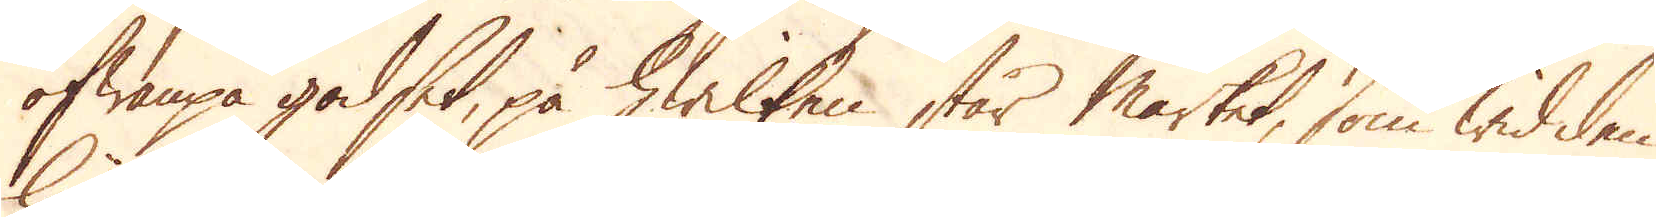ofwanpå godset, på hwilken står märket, som wid den
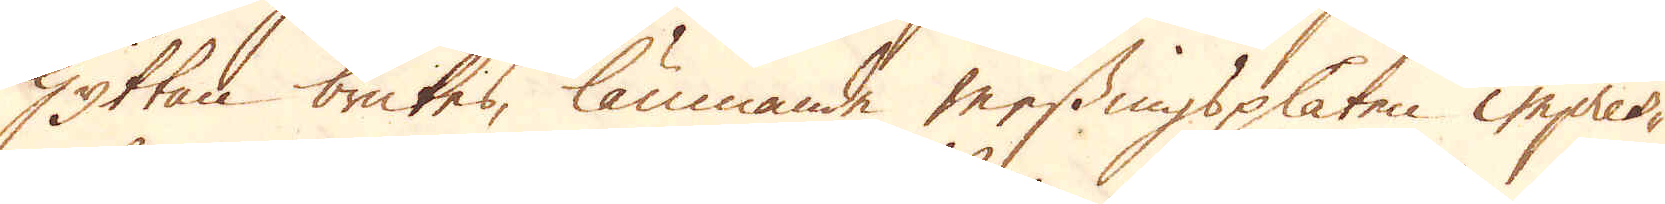Hyttan brukes, lämnande messingsplåten impres-
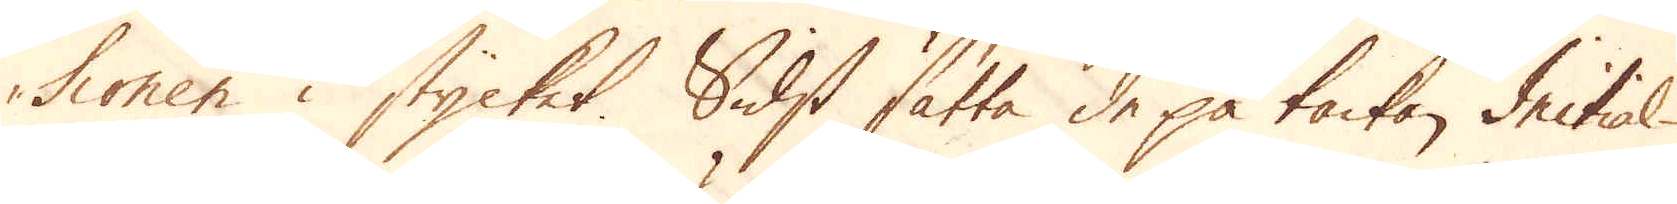sionen i stycket. Sidst sätta de på tackan Initial-
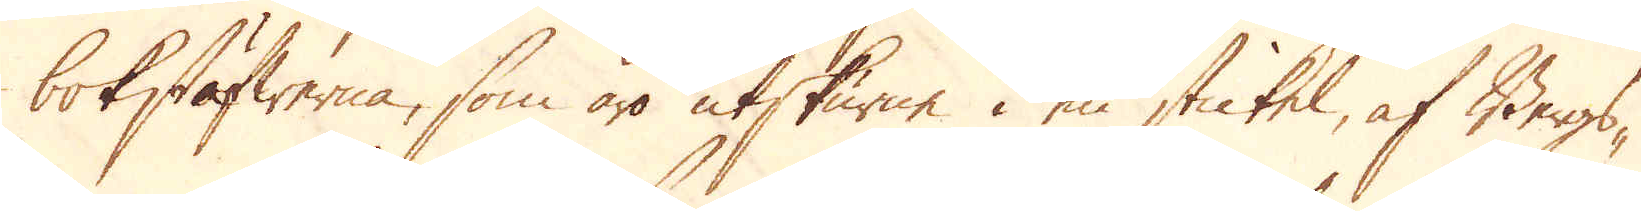bokstäfwerna, som äro utskurne i en stickel, af Bergs-
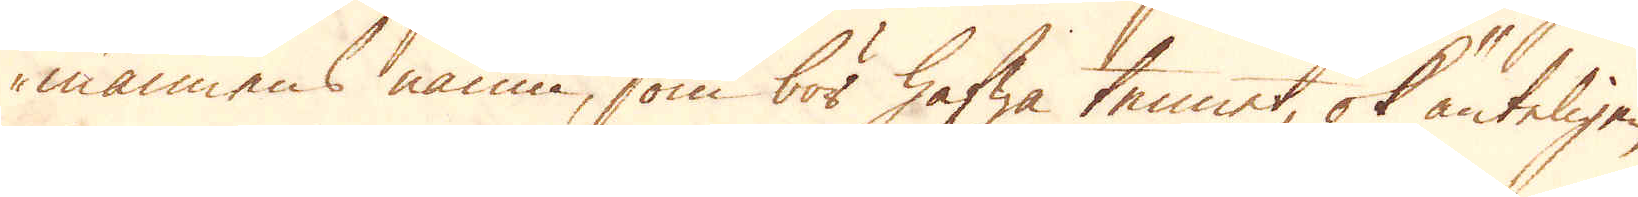mannens namn, som bör hafwa tennet, ok änteligen
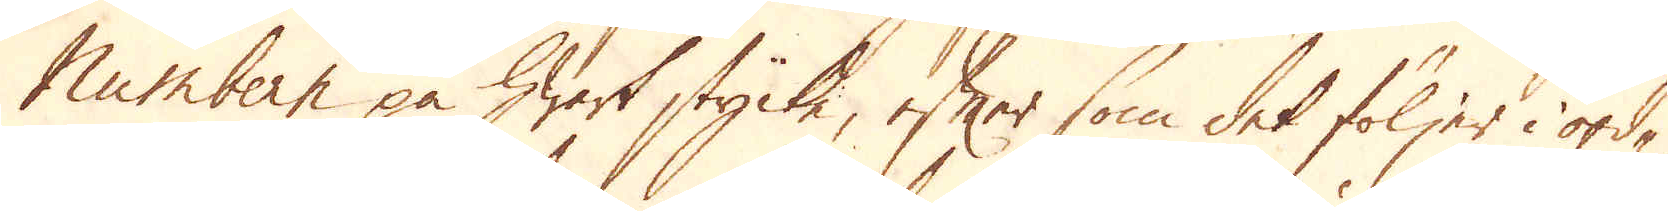Numbern på hwart stycke, efter som det följer i ord-
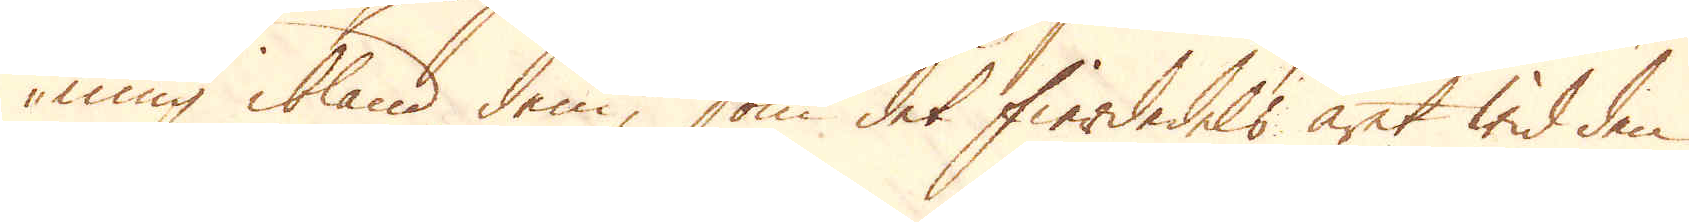ning ibland dem, som det fierdedels året wid den
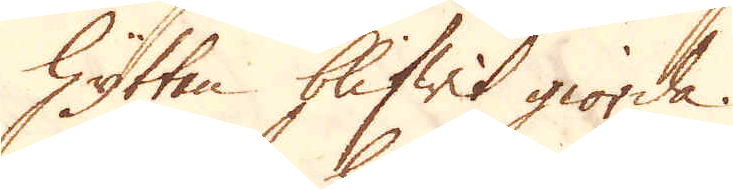Hyttan blifwit giorda.
